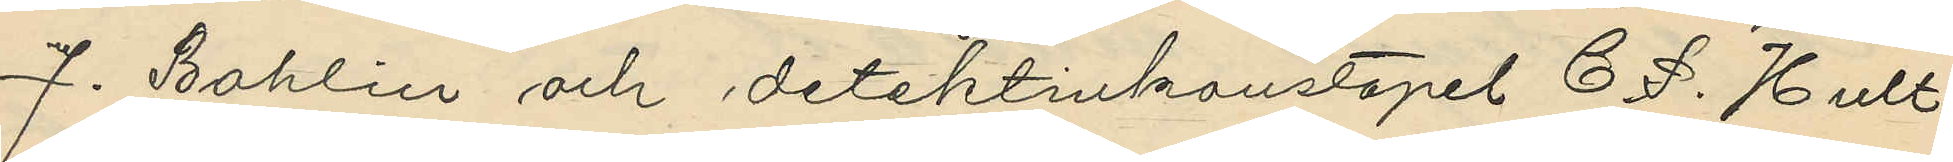J. Bohlin och detektivkonstapel C. P. Hult¬
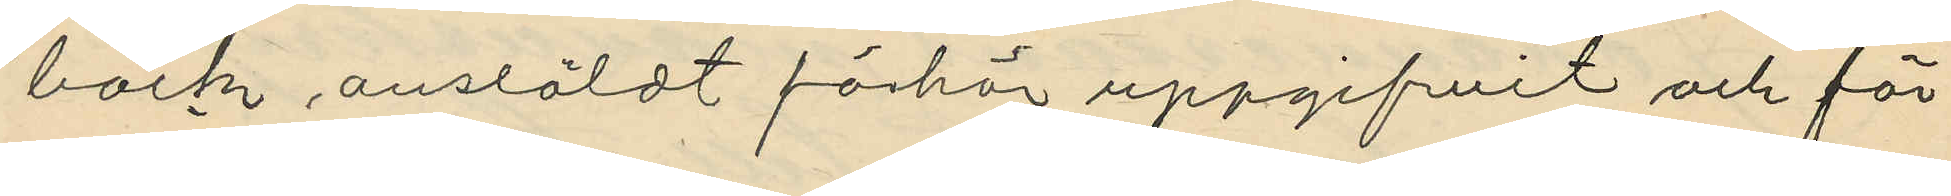bäck ansläldt förhör uppgifvit och för¬
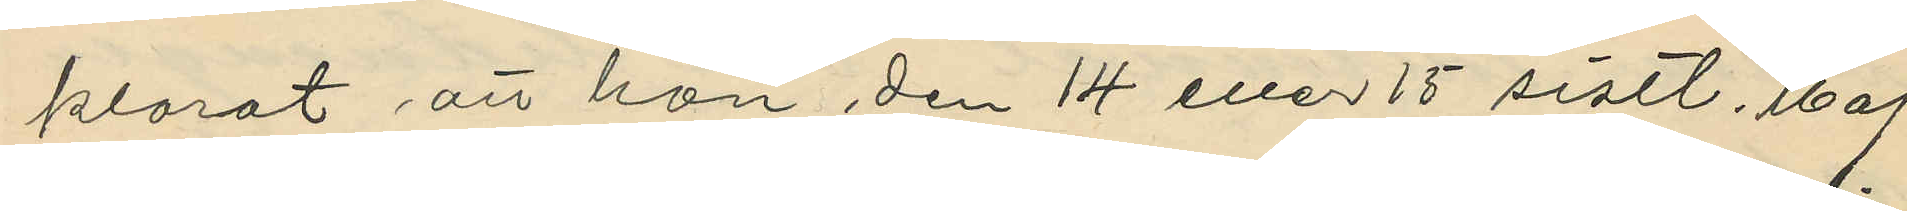klarat att han den 14 eller 15 sistl. Maj
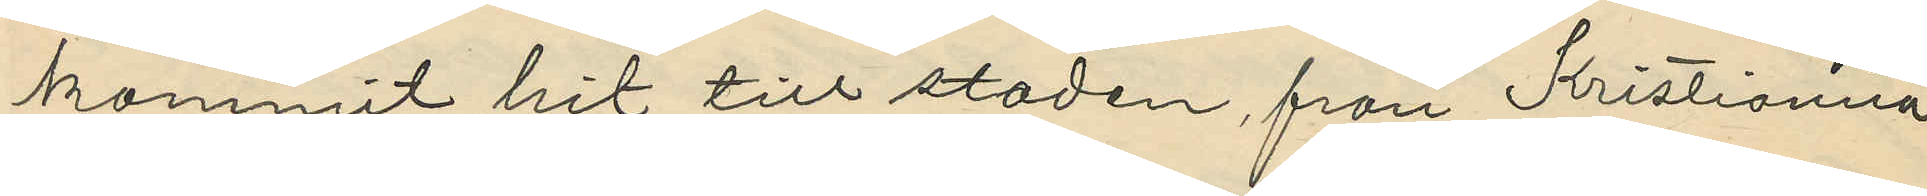kommit hit till staden, från Kristiamia,
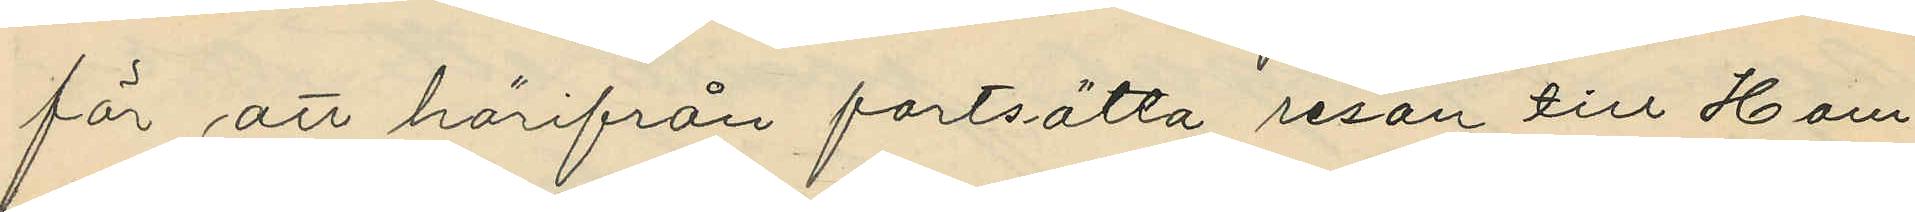för att härifrån fortsätta resan till Ham¬
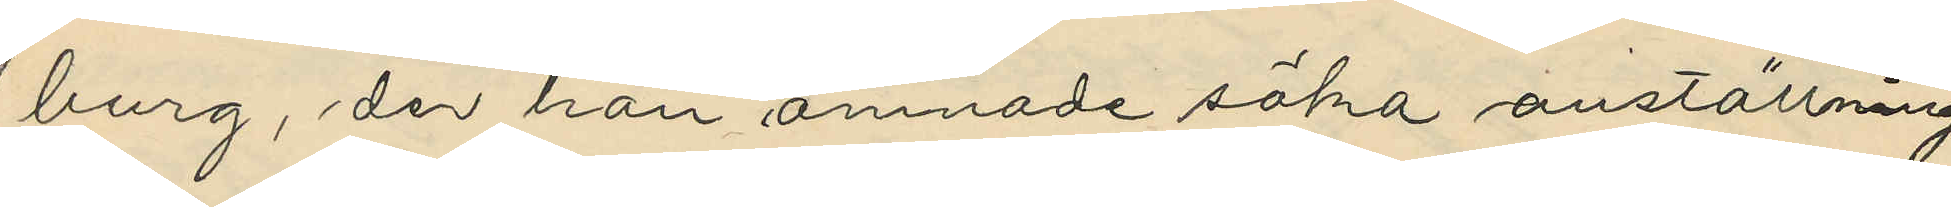burg, der han ämnade söka anställning
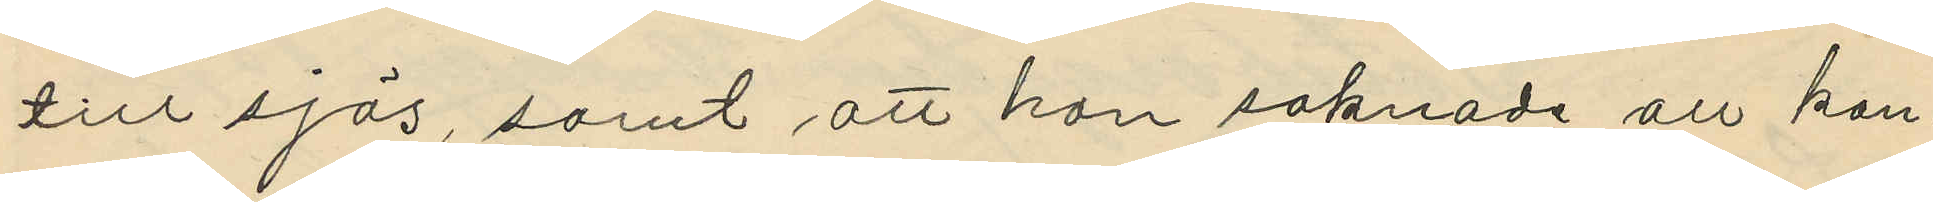till sjös, samt att han saknade all kan¬
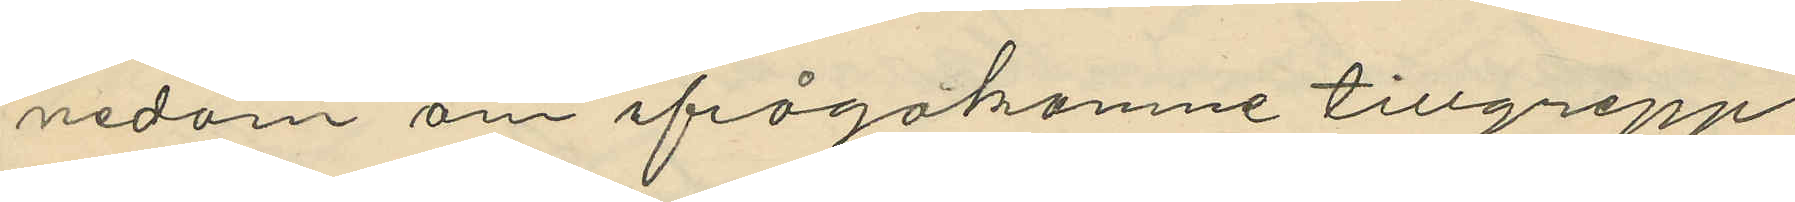nedom om ifrågakomne tillgrepp.
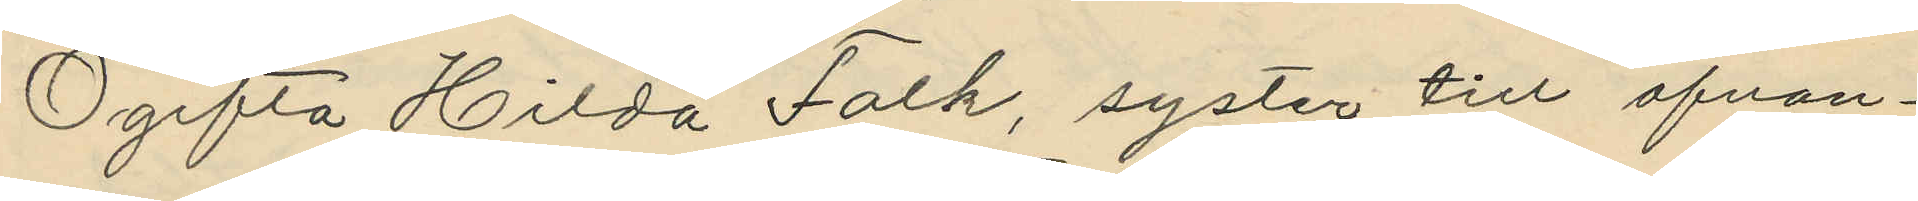Ogifta Hilda Falk, syster till ofvan¬
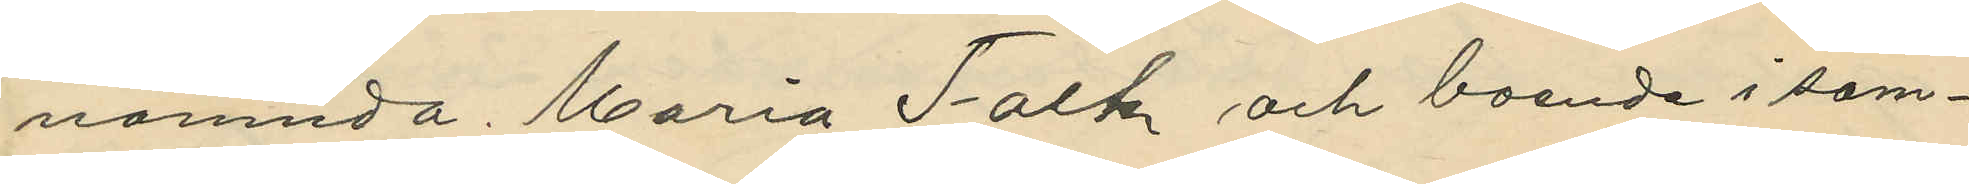nämnda Maria Falk och boende i sam¬
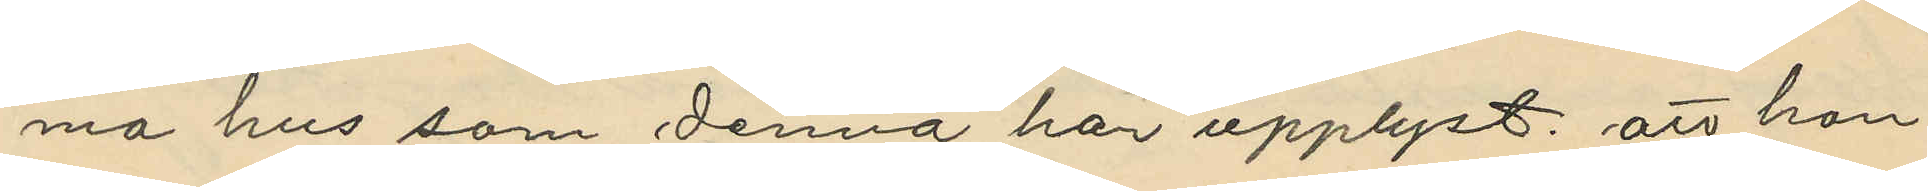ma hus som denna har upplyst, att hon
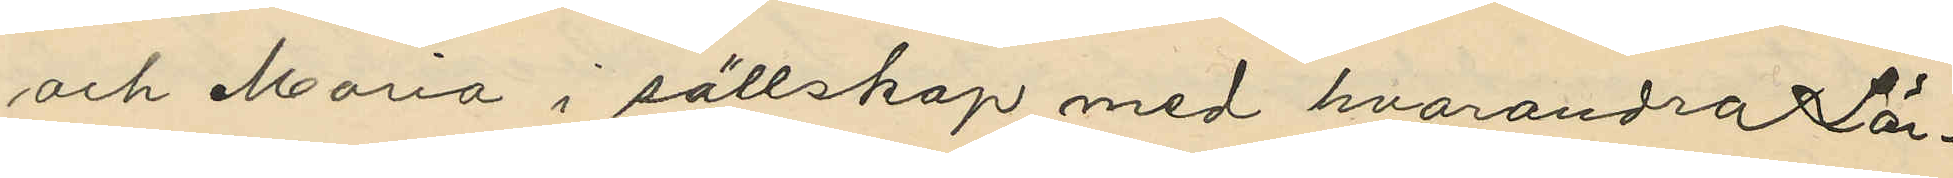och Maria i sällskap med hvarandra Lör¬
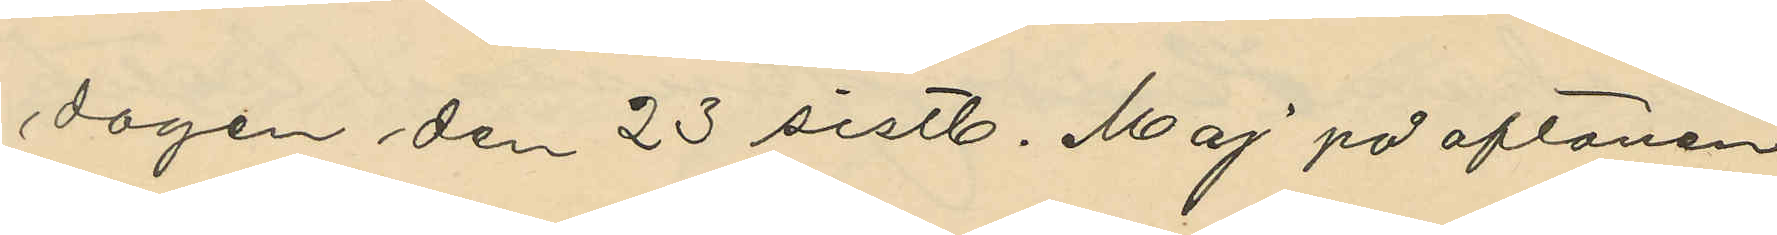dagen den 23 sistl. Maj på aftonen
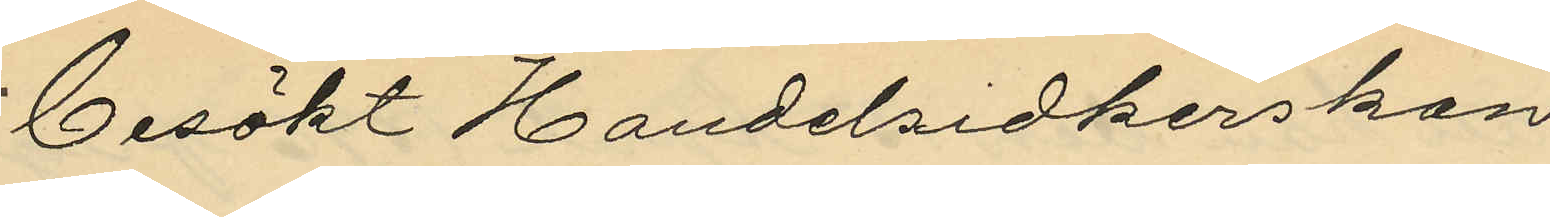besökt Handelsidkerskan
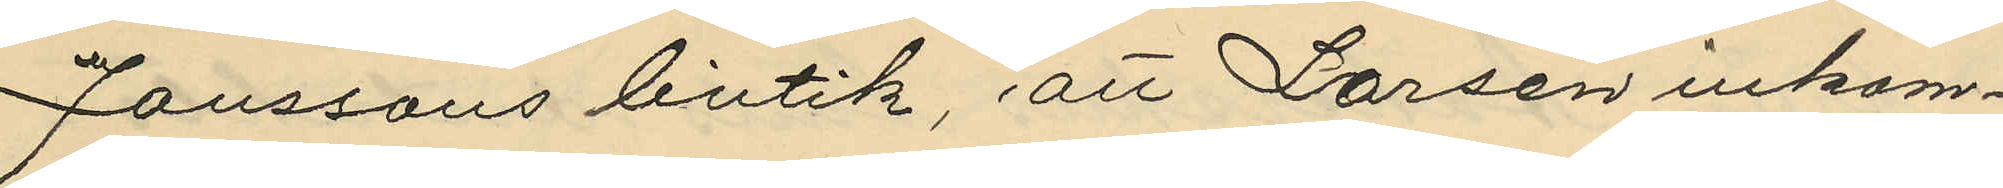Janssons butik, att Larsen inkom¬
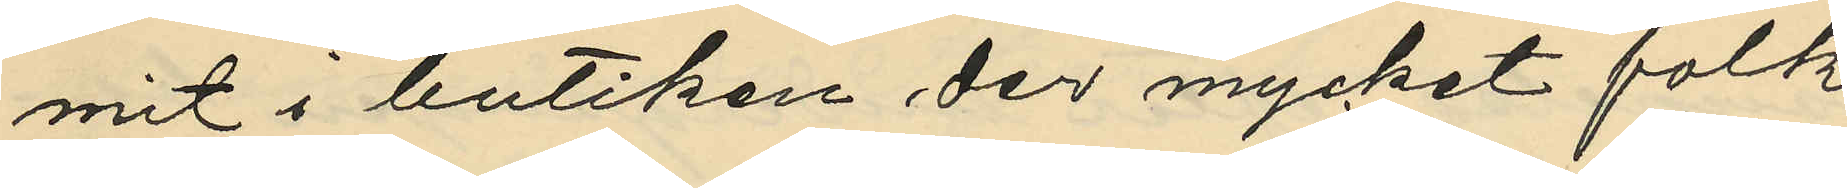mit i butiken der mycket folk
